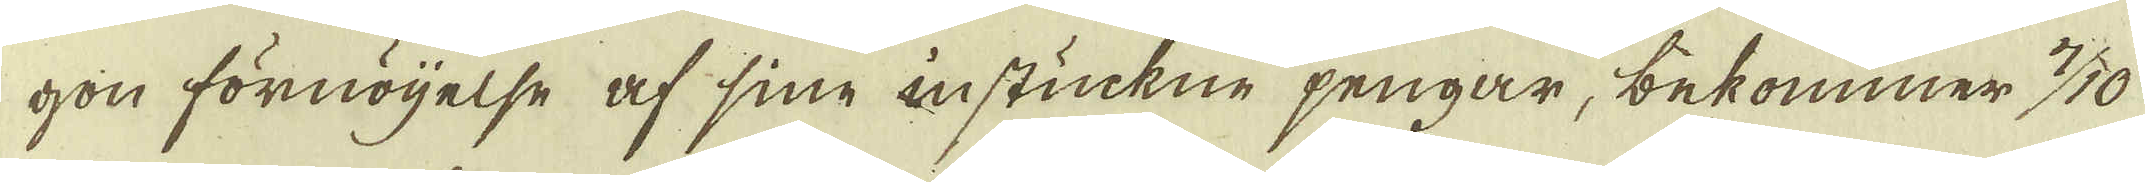gon förnöjelse af sine instickne pengar, bekommer 7/10
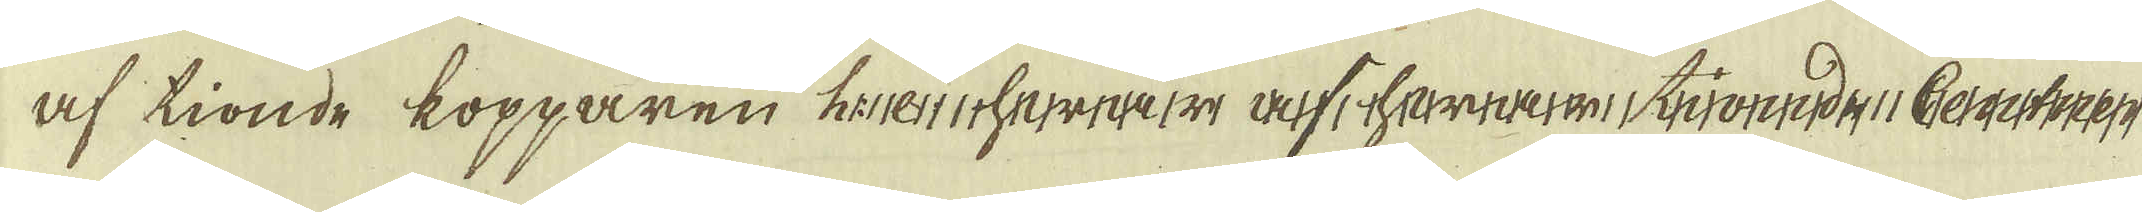af tionde kopparen
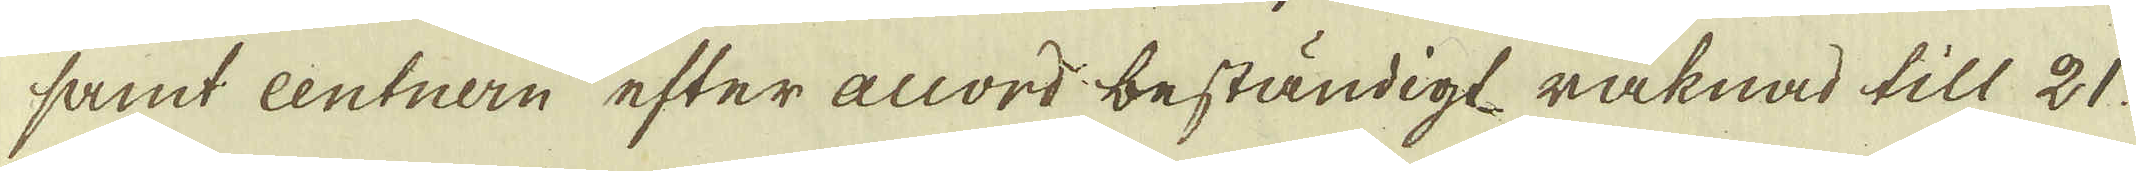samt centnern efter accord beständigt räknad till 21.
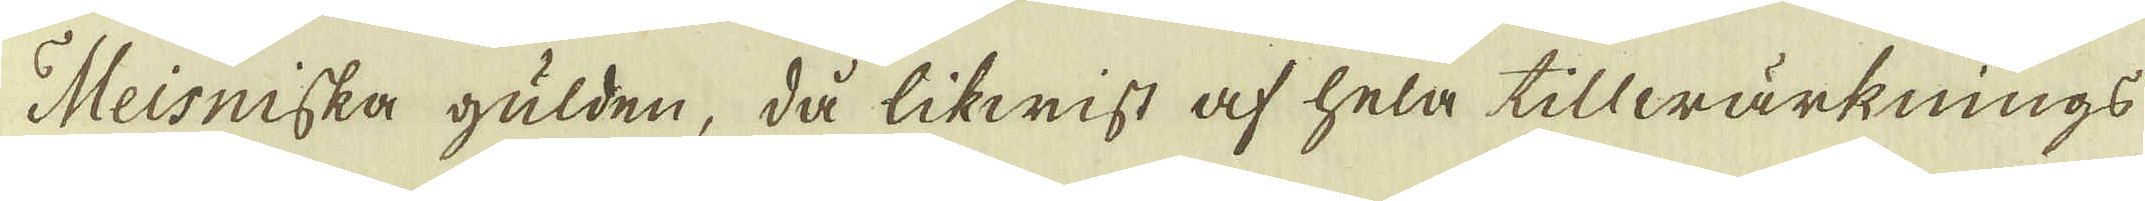Meisniska gulden, då likwist af hela tillwärknings
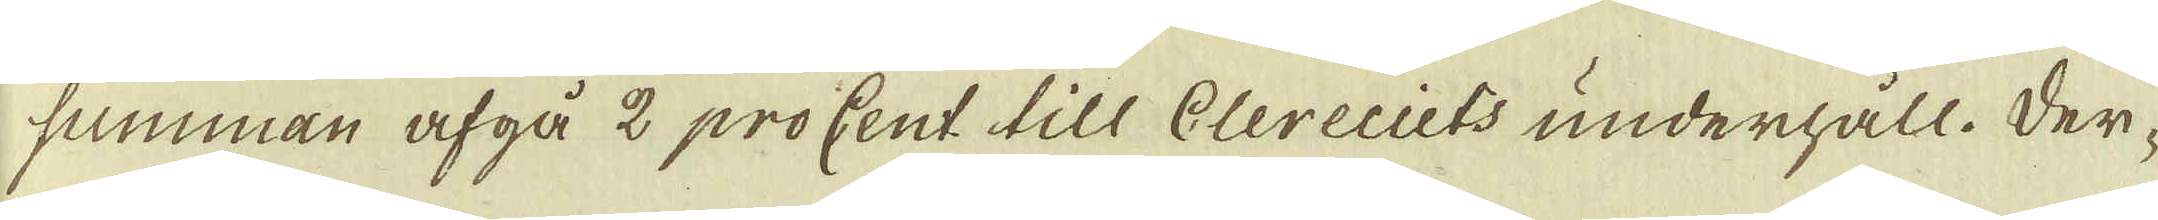summan afgå 2 procent till Clereciets underhåll. Der-
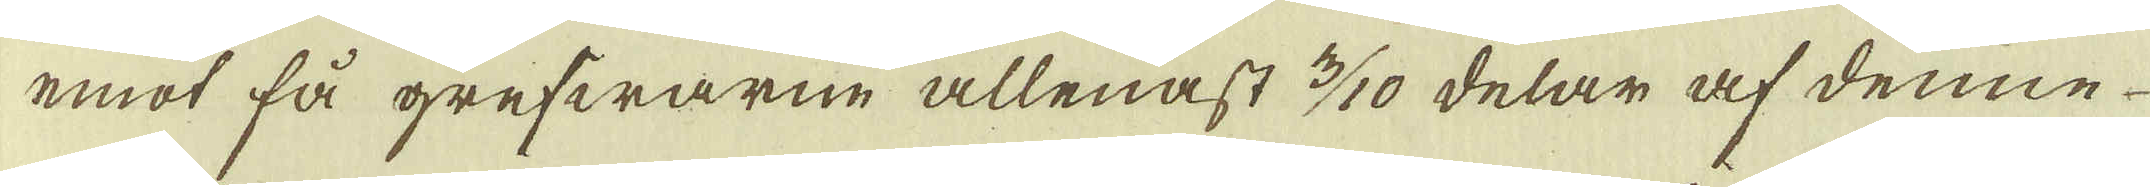emot få grefwarne allenast 3/10 delar af denne
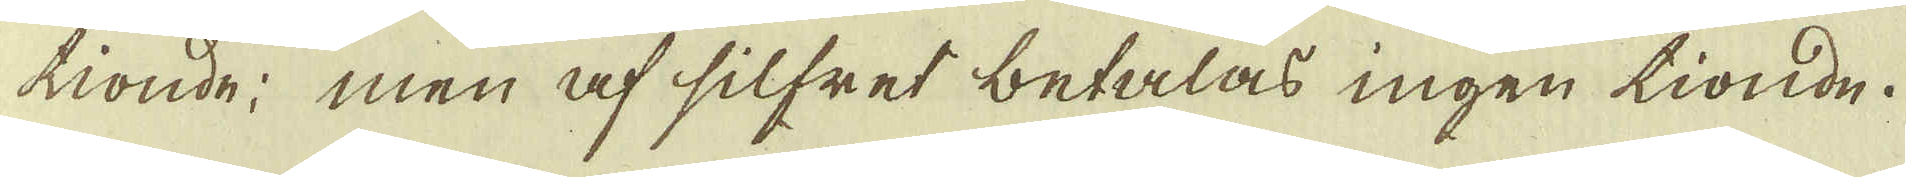tionde; men af silfret betalas ingen tionde.
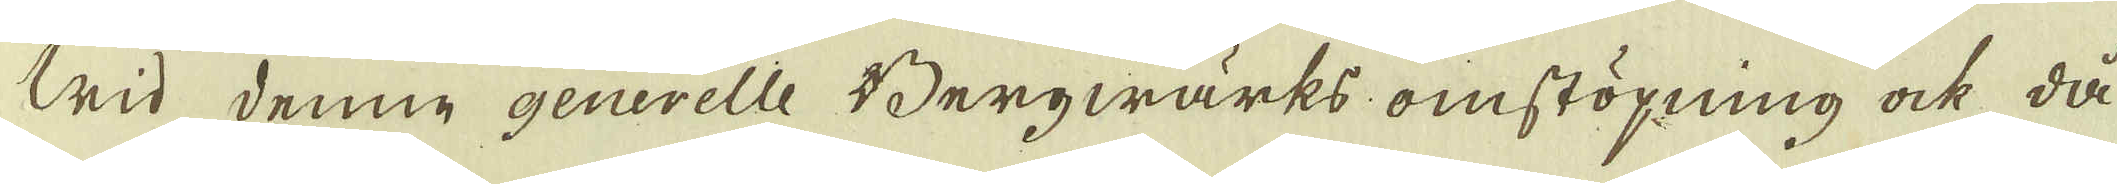Wid denne generelle Bergwärks omstöpning ock då
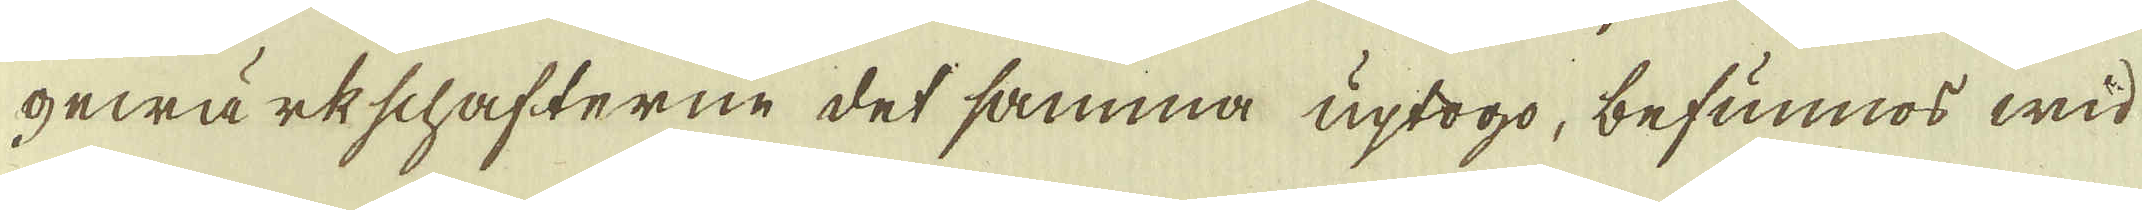gewärkschafterne det samma uptogo, befunnos wid
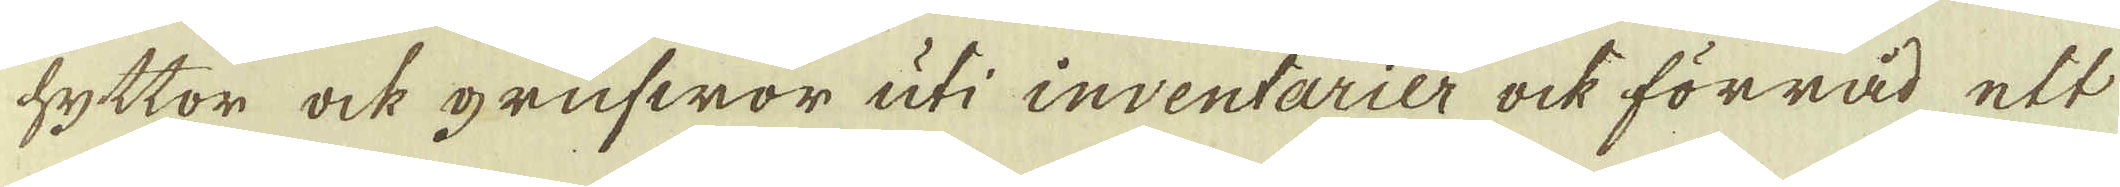hyttor ock grufwor uti inventarier ock förråd ett
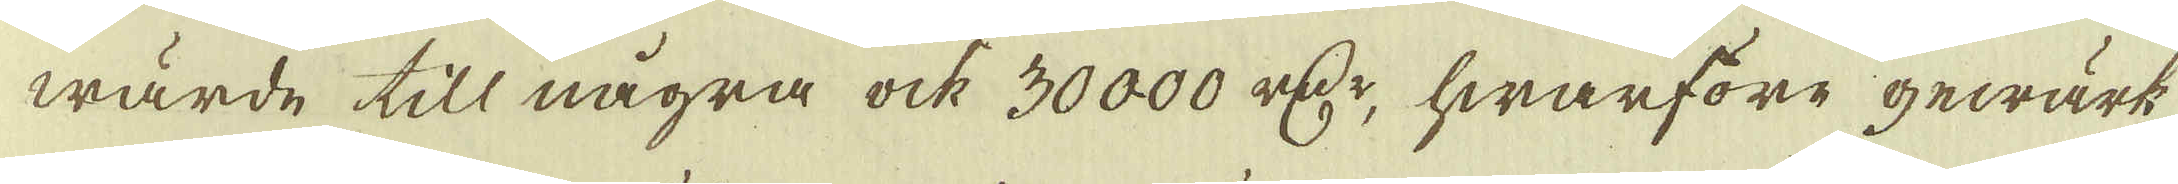wärde till några ock 30000 r:dr, hwarföre gewärk-
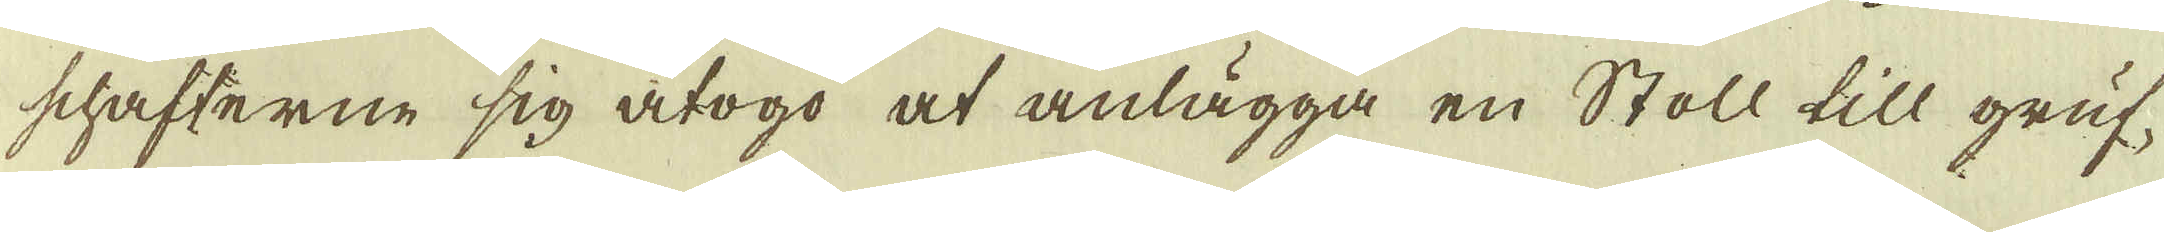schafterne sig åtogo at anlägga en Stoll till gruf-
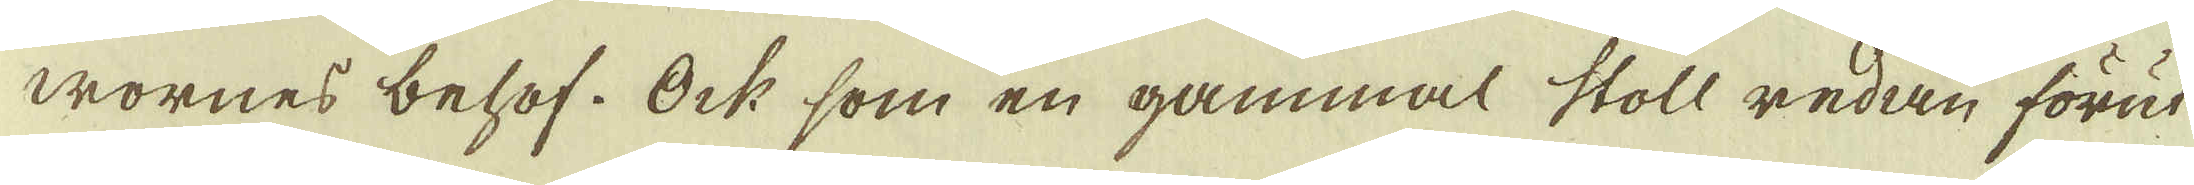wornes behof. Ock som en gammal stoll redan förut
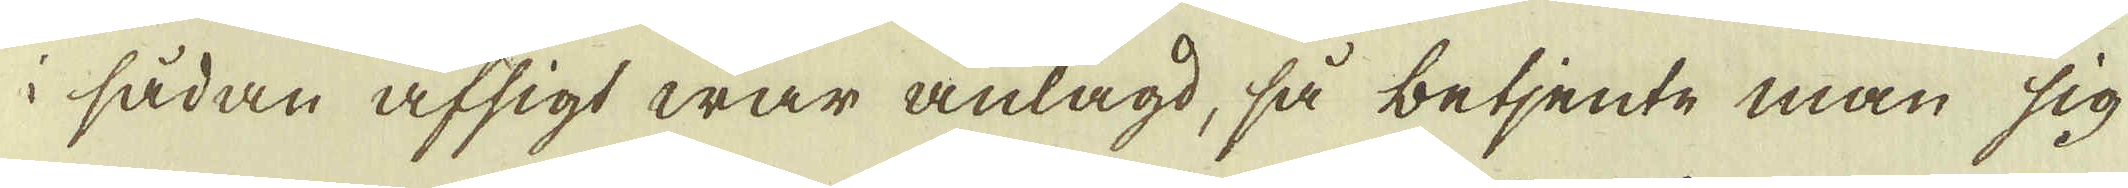i sådan afsigt war anlagd, så betjente man sig
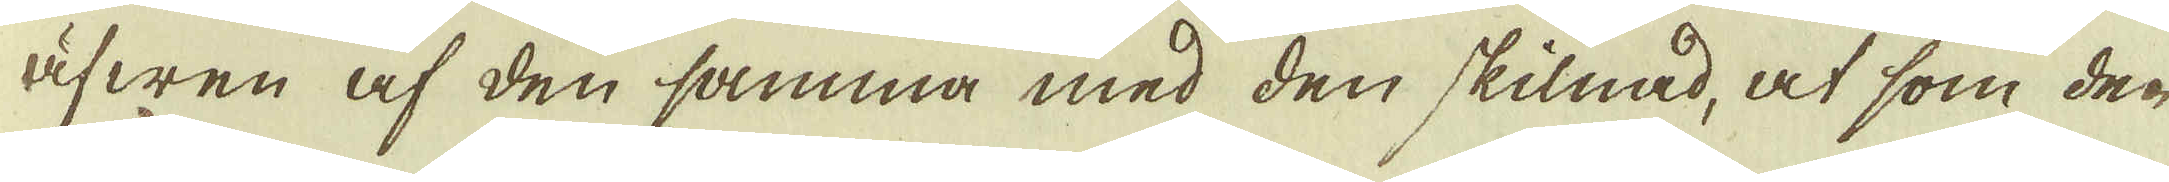äfwen af den samma med den skilnad, at som den
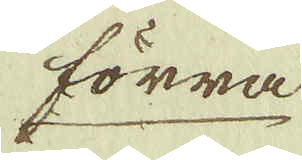förra
